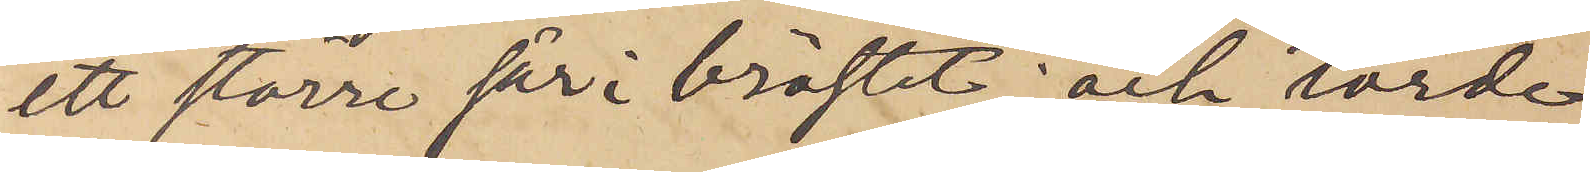ett större sår i bröstet; och torde
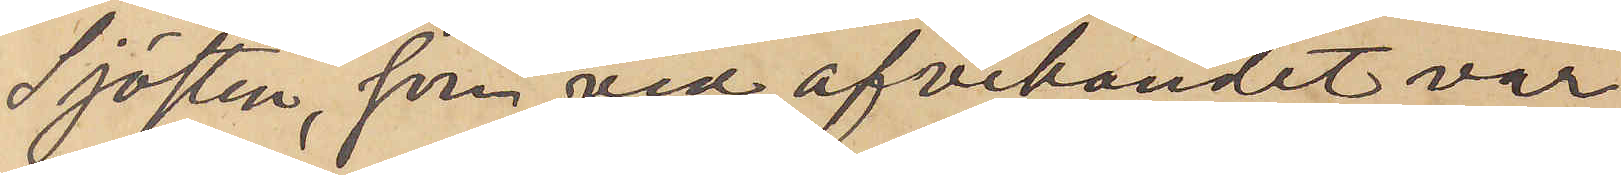Sjösten, som vid afvikandet var
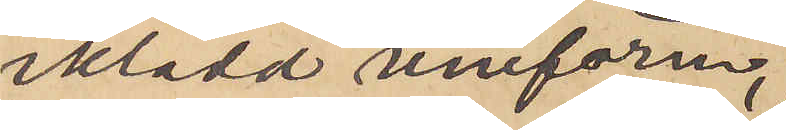iklädd uniform,
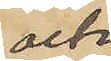och
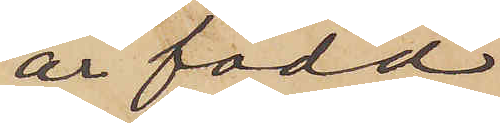är född
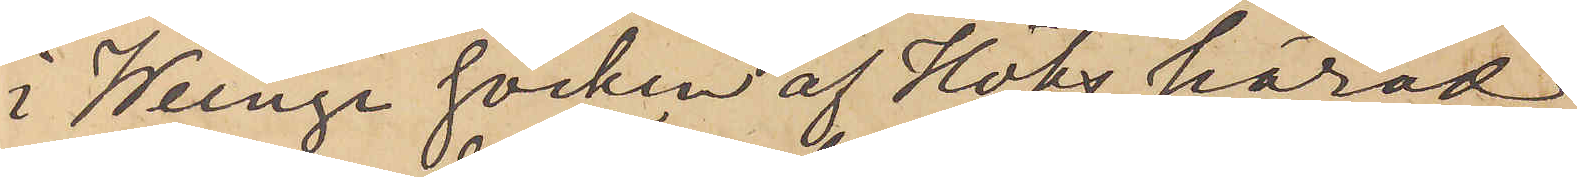i Weinge socken af Höks härad
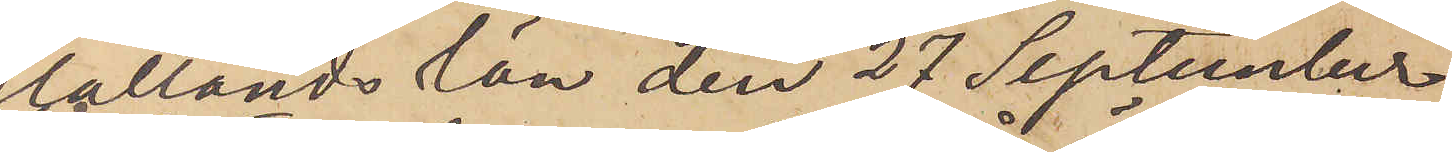Hallands län den 27 September
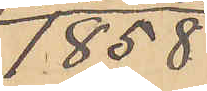1858
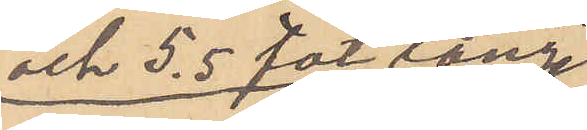och 5,5 fot lång
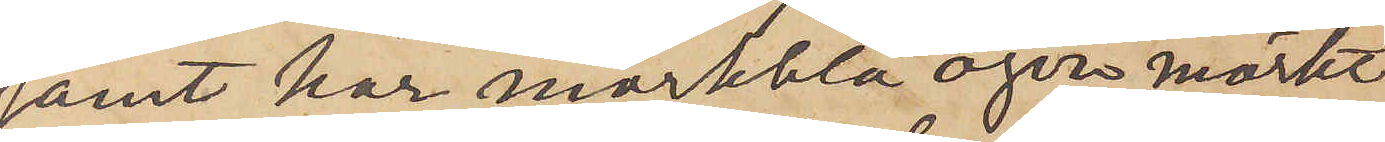samt har mörkblå ögen, mörkt
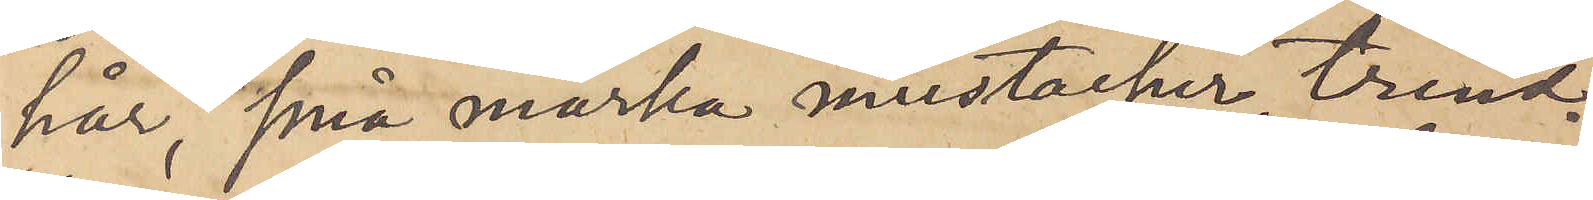hår, små mörka mustacher, trind¬
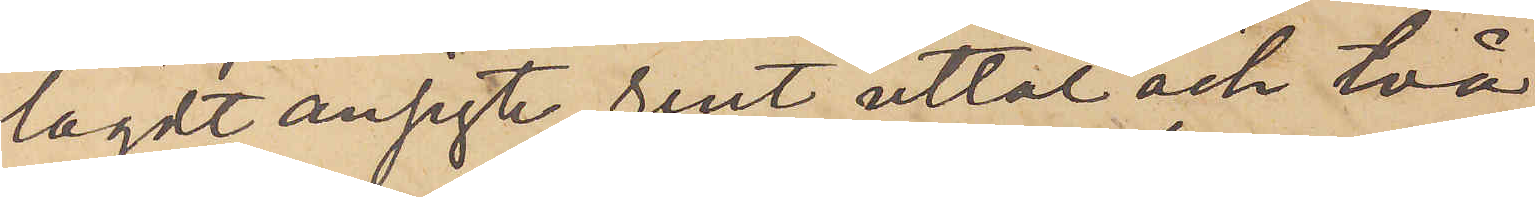lagdt ansigte, rent uttal och två
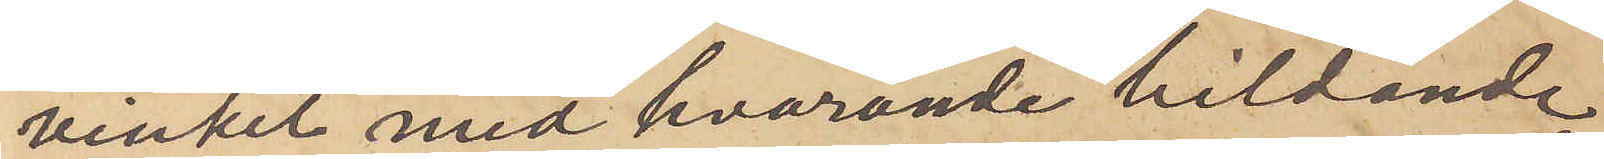vinket med hvarande bildande
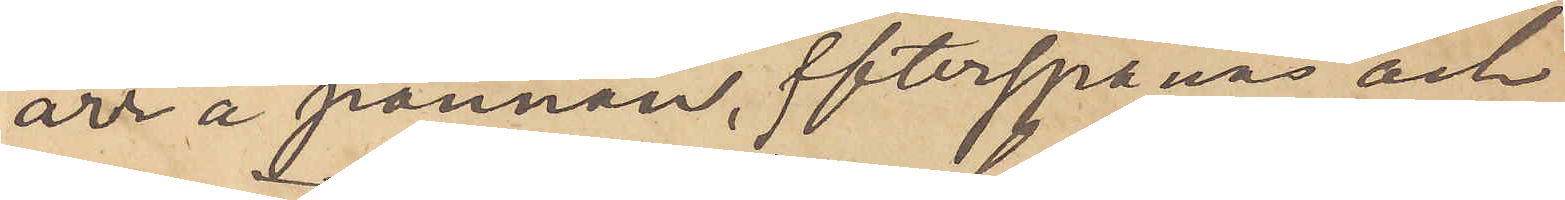ärr å pannan, efterspanas och
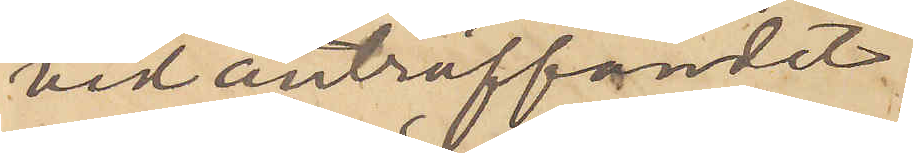vid anträffandet
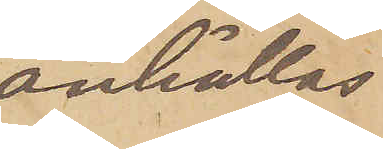anhållas
